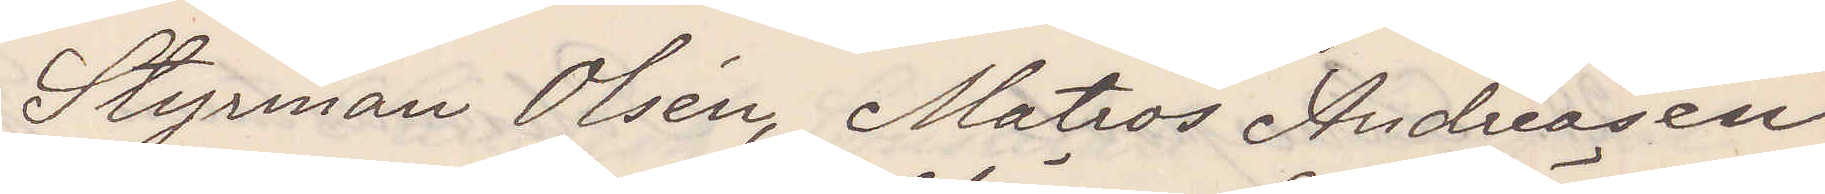Styrman Olsén, Matros Andreasen
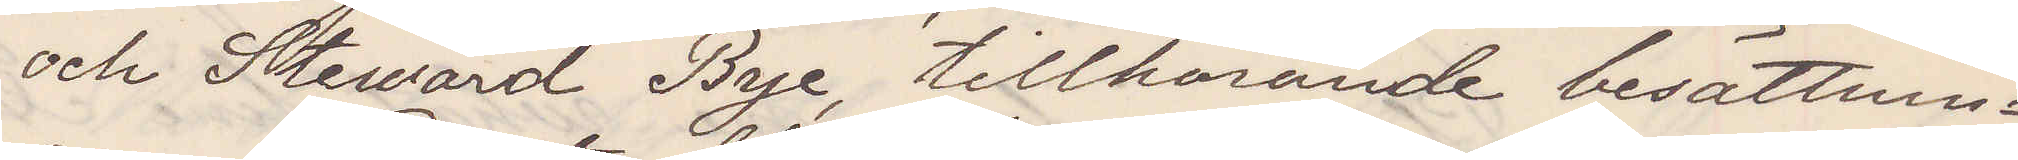och Steward Bye, tillhörande besättnin¬
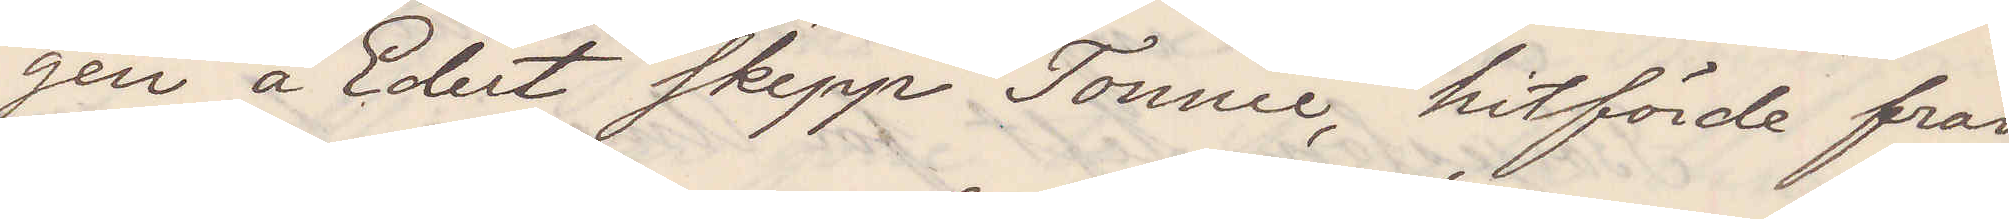gen å Edert skepp "Tonnie", hitförde från
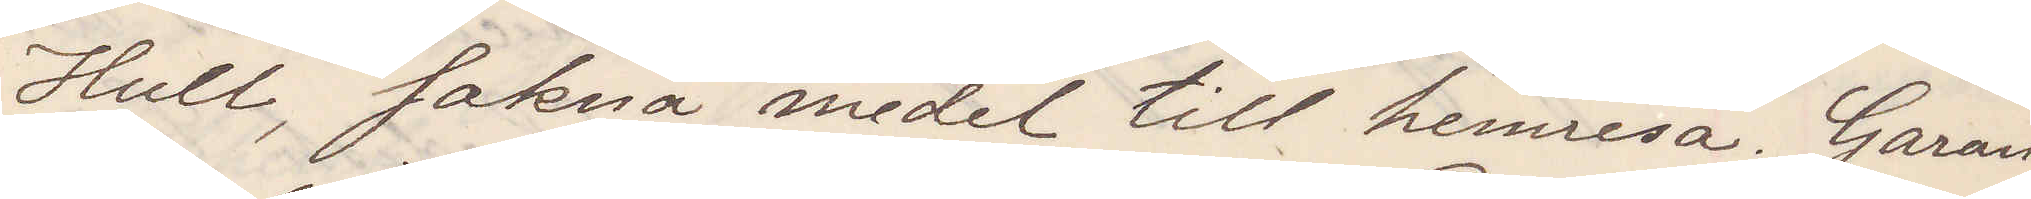Hull, sakna medel till hemresa. Garan¬
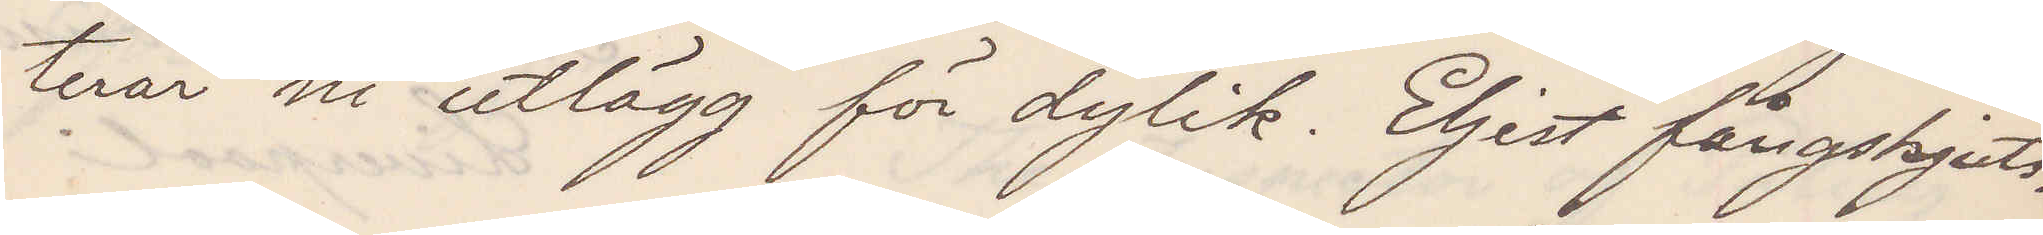terar ni utlägg för dylik. Eljest fångskjuts.
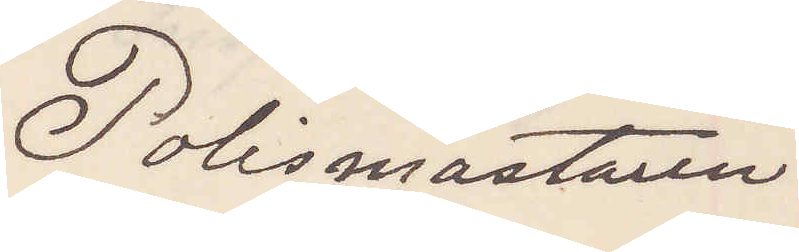Polismästaren
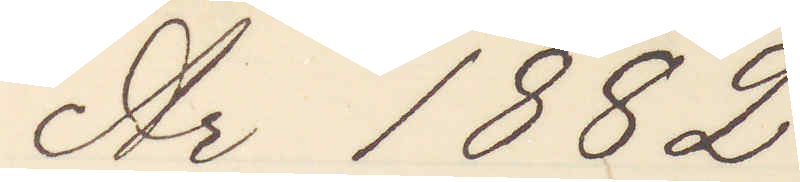År 1882
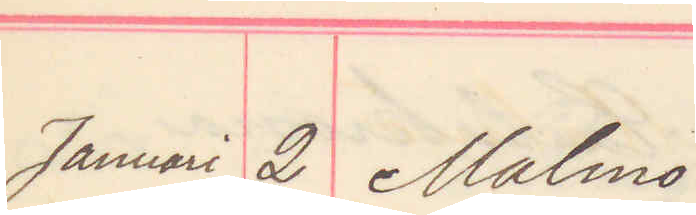Januari 2 Malmö
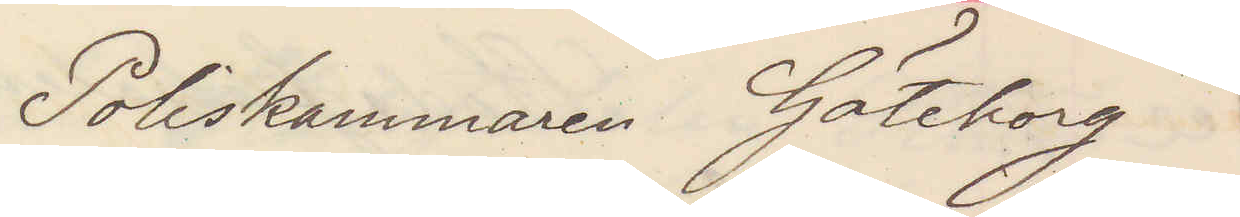Poliskammaren Göteborg
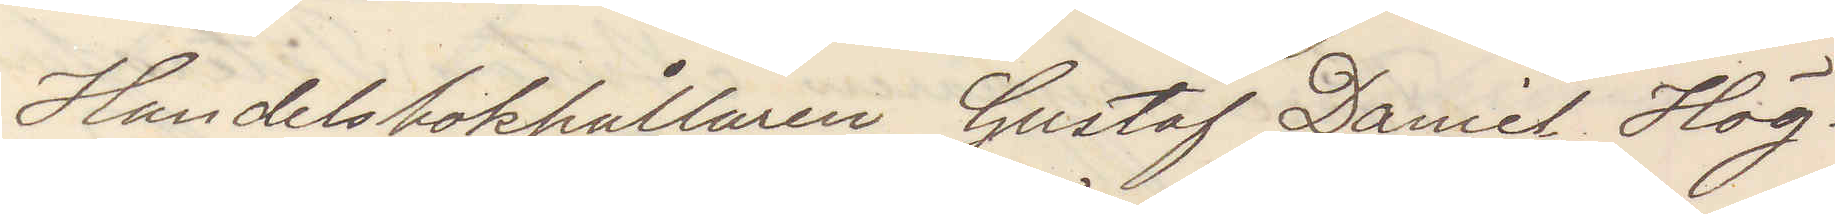Handelsbokhållaren Gustaf Daniel Hög¬
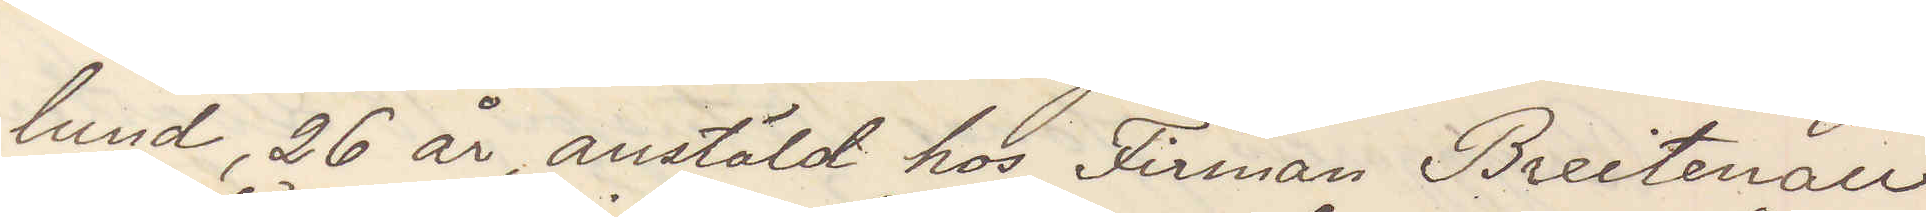lund 26 år anstäld hos Firman Breitenau
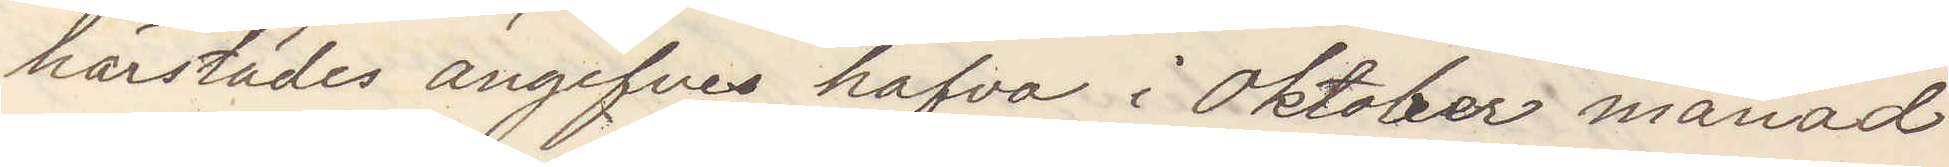härstädes angifves hafva i Oktober månad
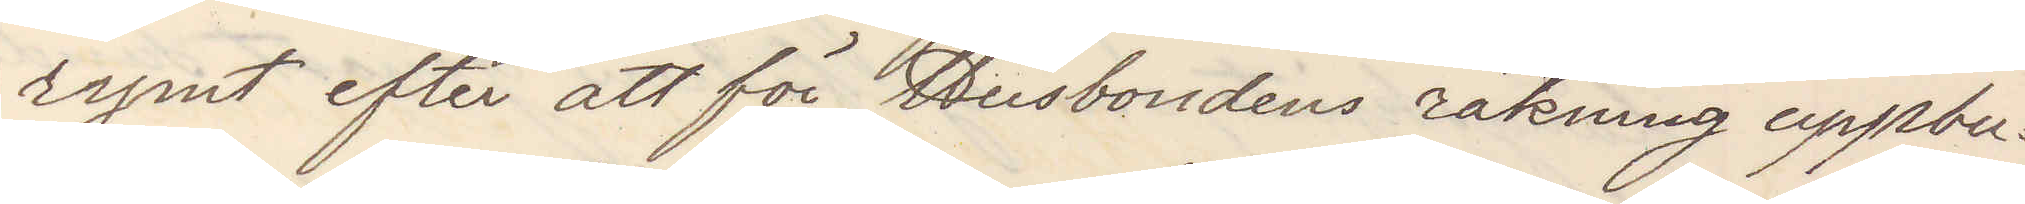rymt efter att för Husbondens räkning uppbu¬
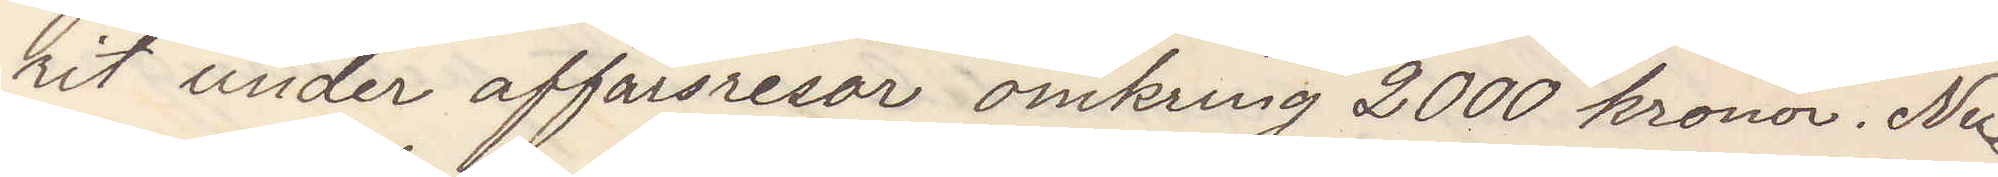rit under affärsresor omkring 2000 kronor. Nu
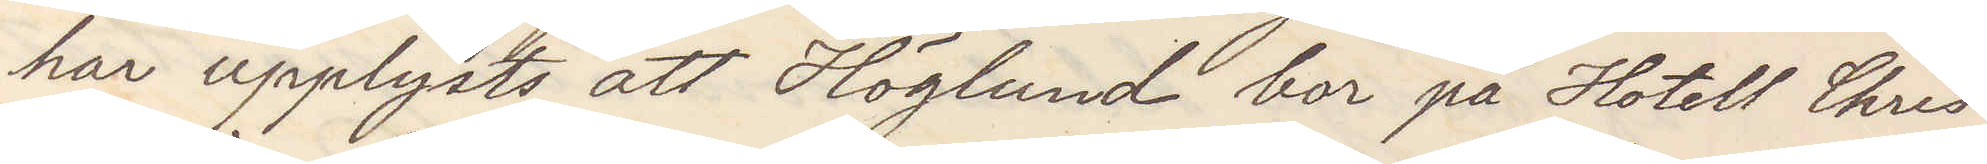har upplysts att Höglund bor på Hotell Chris¬
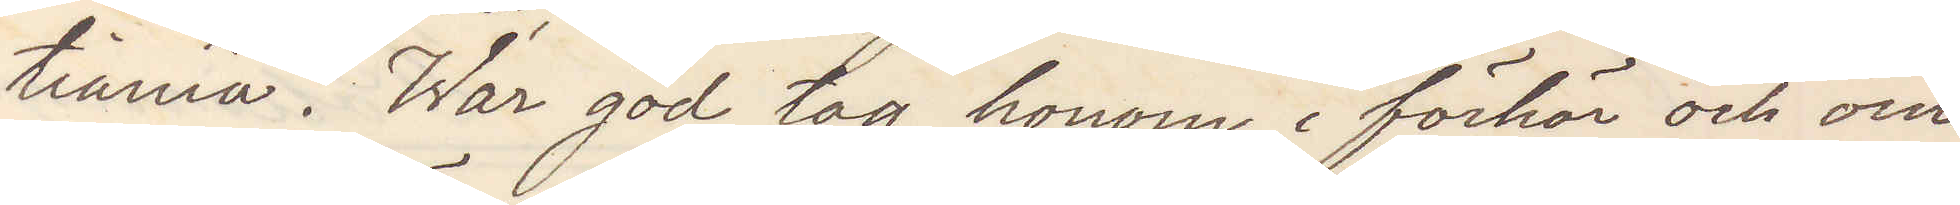tiania. War god tag honom i förhör och om
